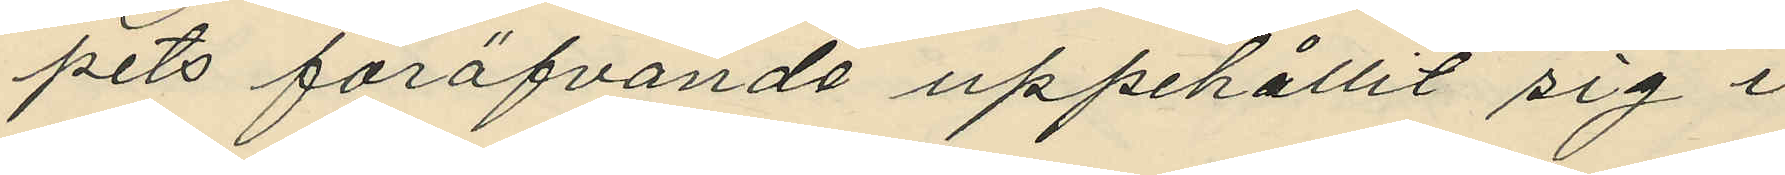pets föröfvande uppehållit sig i 
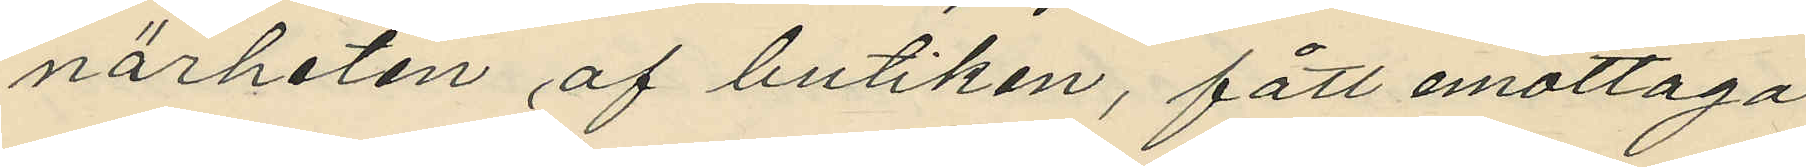närheten af butiken, fått emottaga
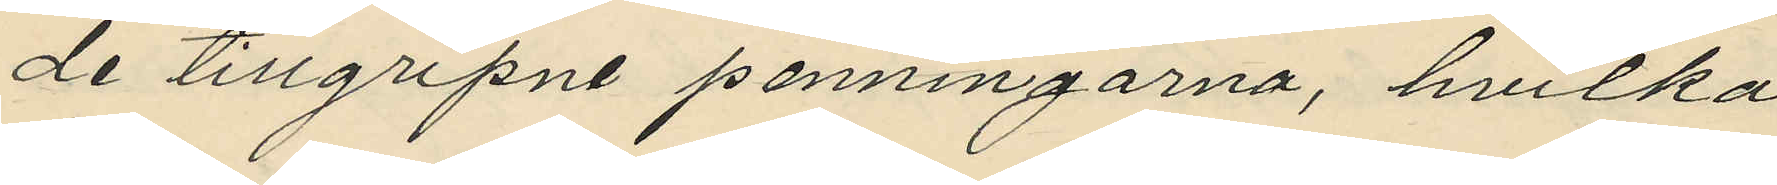de tillgripne penningarna, hvilka
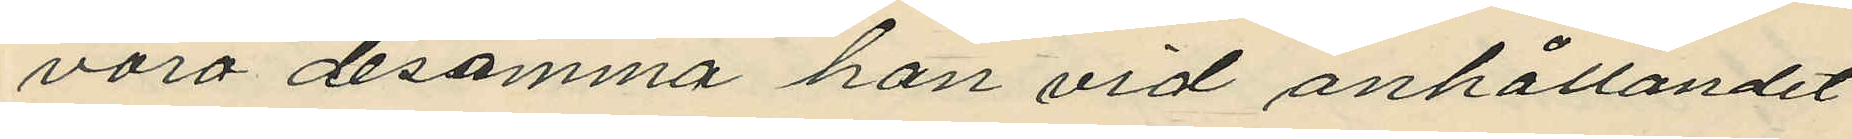voro desamma han vid anhållandet
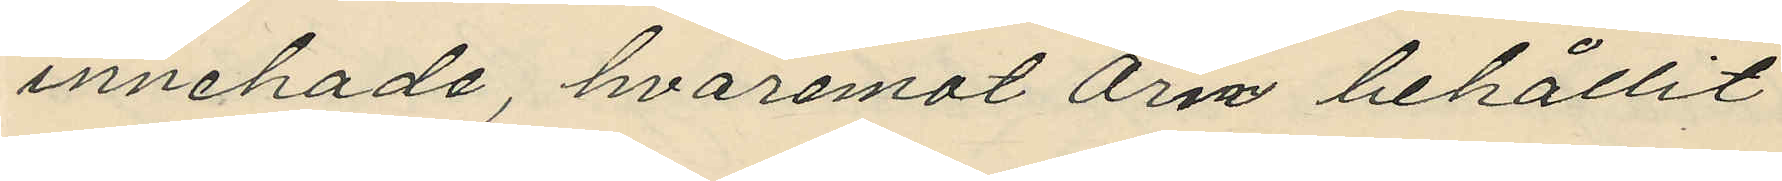innehade, hvaremot Örn behållit
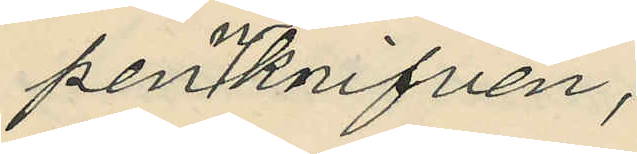pennknifven;
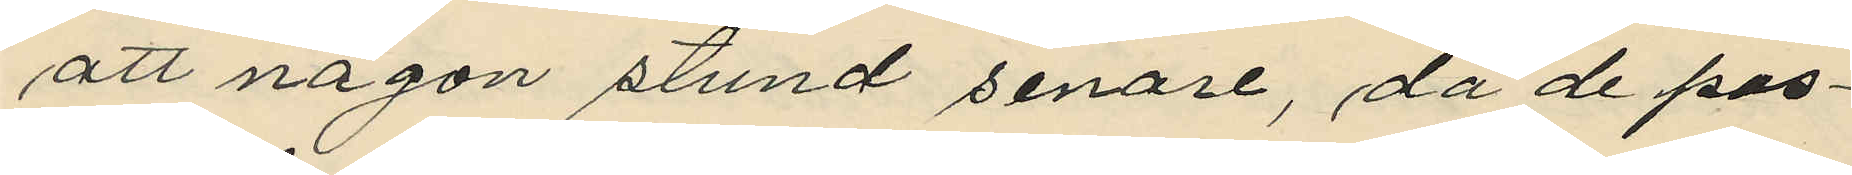att någon stund senare, då de pas¬
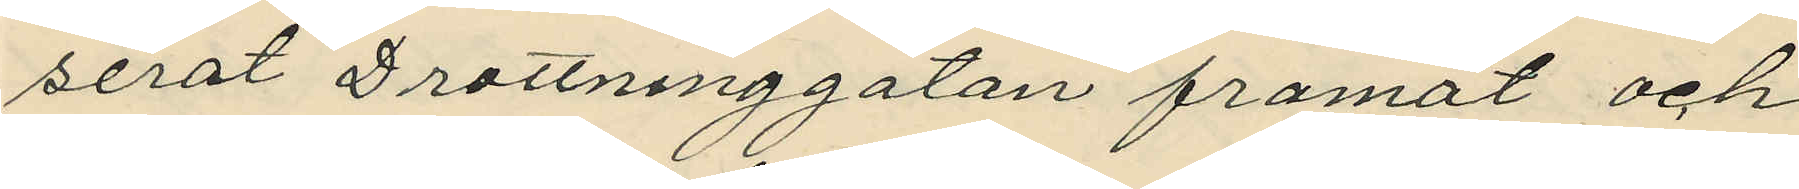serat Drottninggatan framåt och
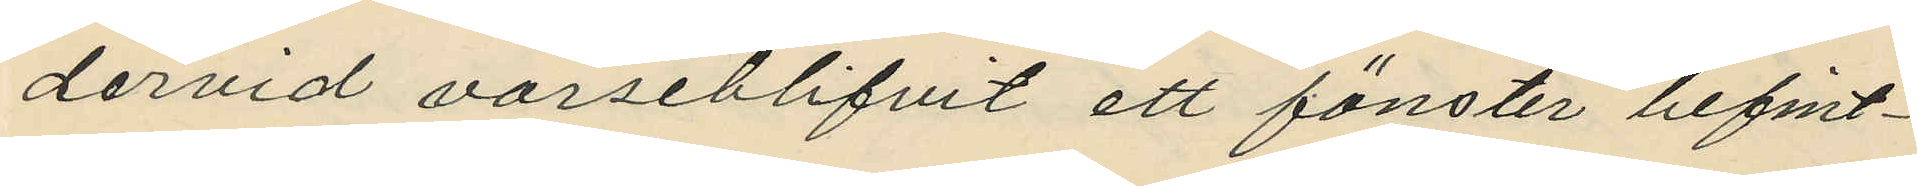dervid varseblifvit ett fönster befint¬
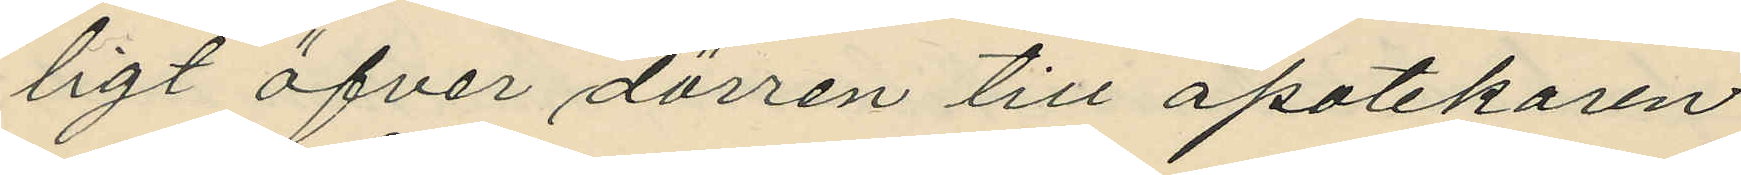ligt öfver dörren till apotekaren
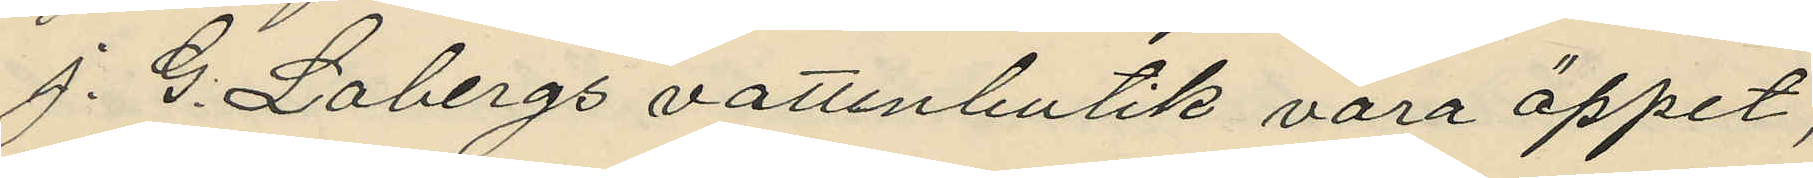J. G. Lobergs vattenbutik vara öppet,
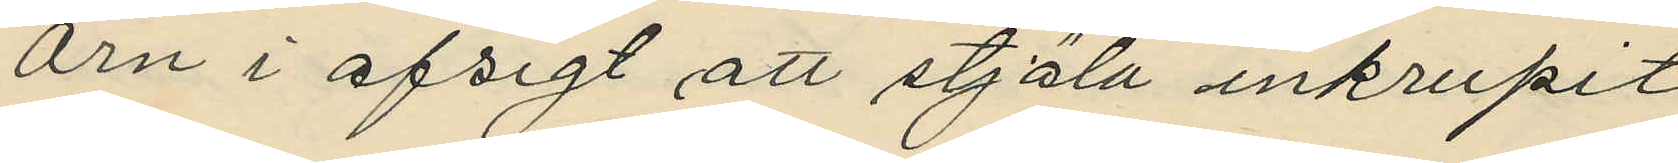Örn i afsigt att stjäla inkrupit
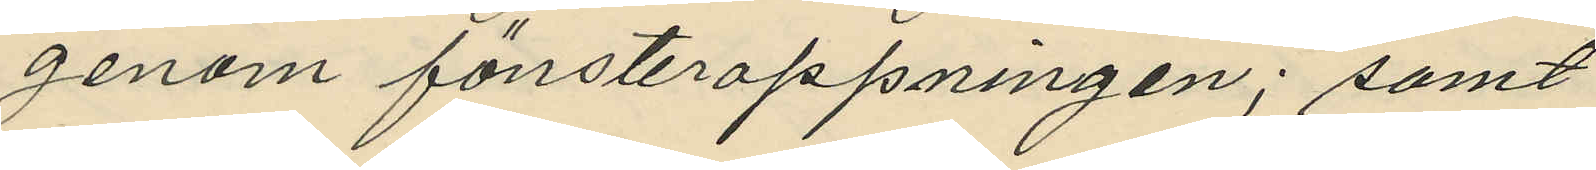genom fönsteroppningen; samt
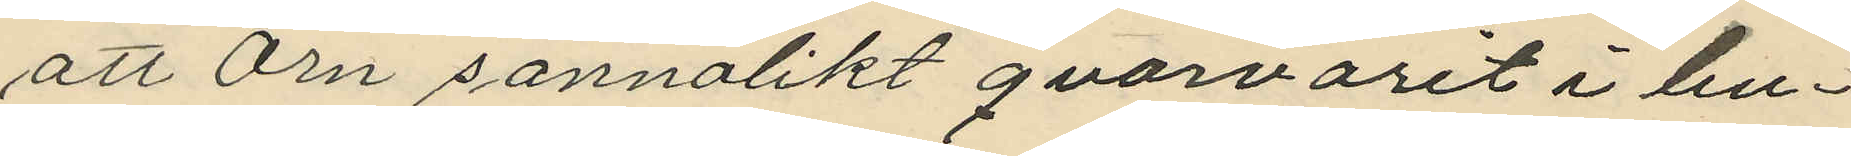att Örn sannolikt qvarvarit i bu¬
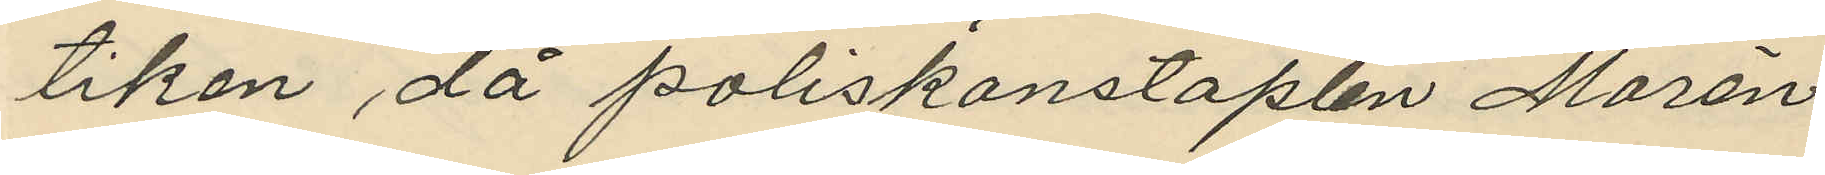tiken då poliskonstaplen Morén
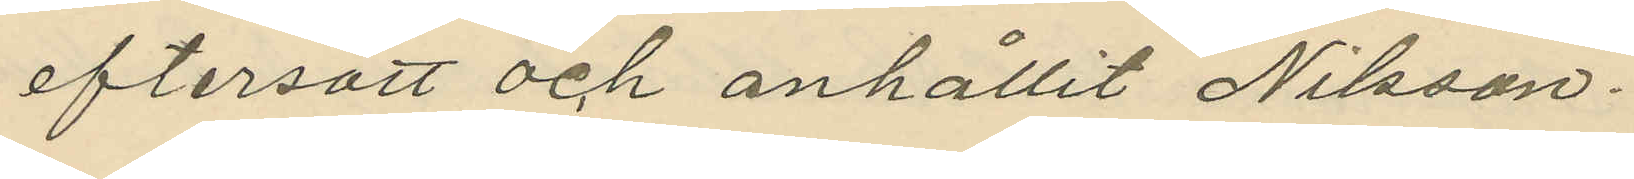eftersatt och anhållit Nilsson.
